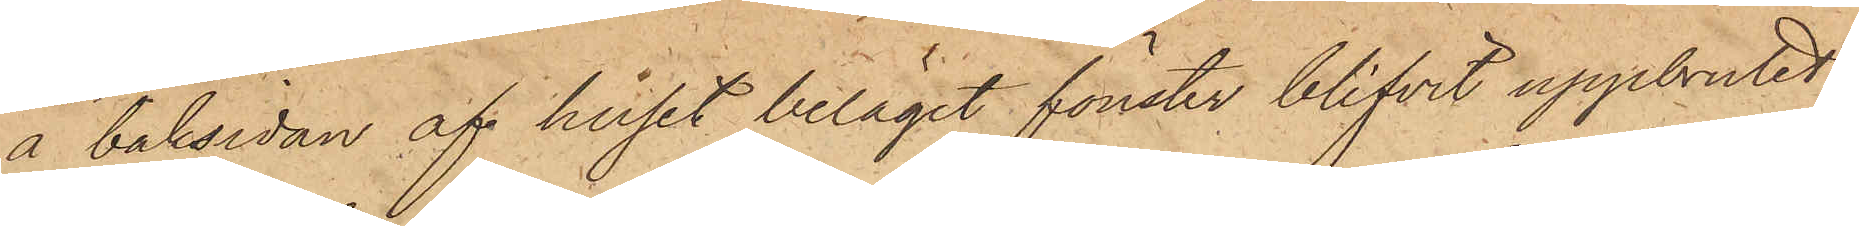å baksidan af huset beläget fönster blifvit uppbrutet
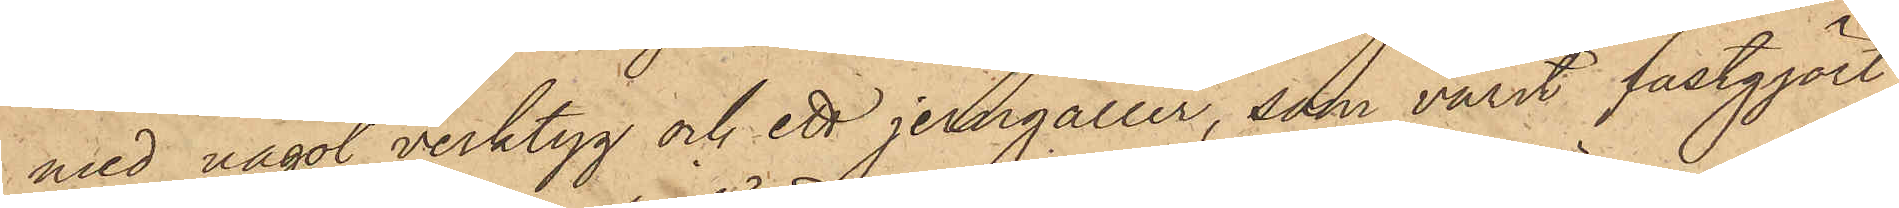med något verktyg och ett jerngaller, som varit fastgjort
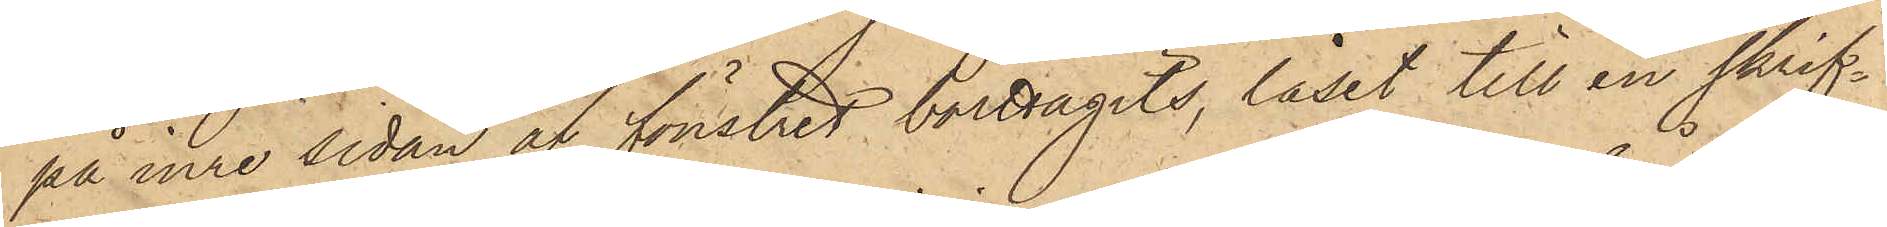på inre sidan af fönstret borttagits, låset till en skrif¬
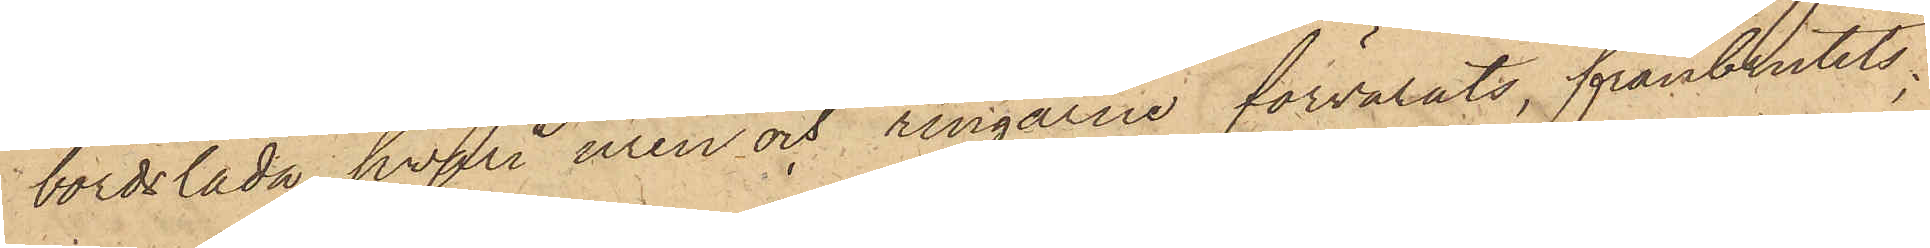bordslåda, hvari uren och ringarne förvarats, frånbrutits,
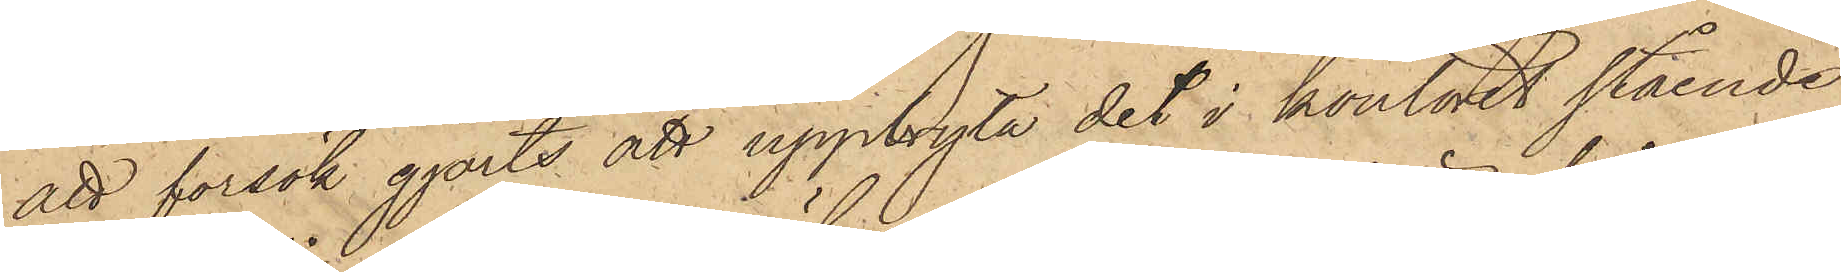att försök gjorts att uppbryta det i kontoret stående
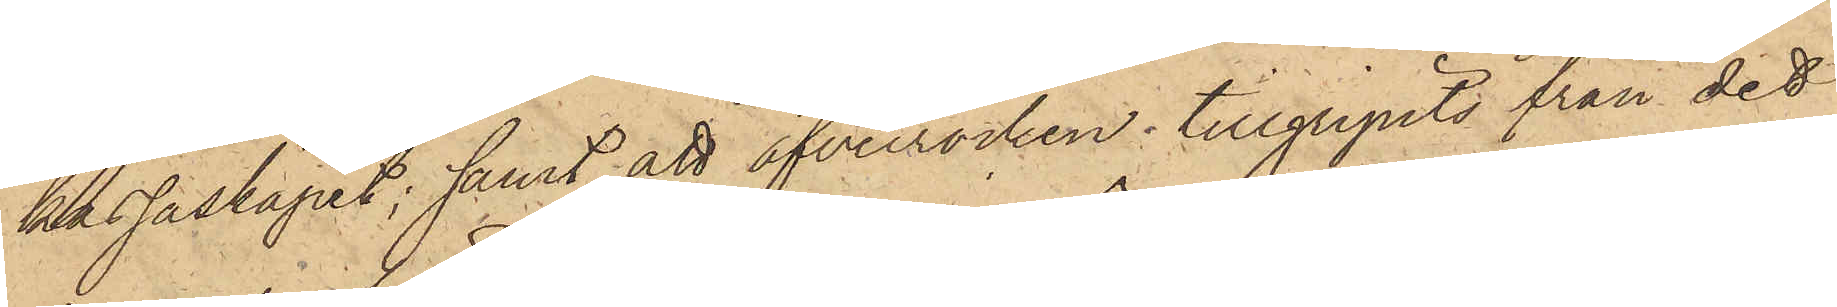kassaskåpet; samt att öfverrocken tillgripits från det
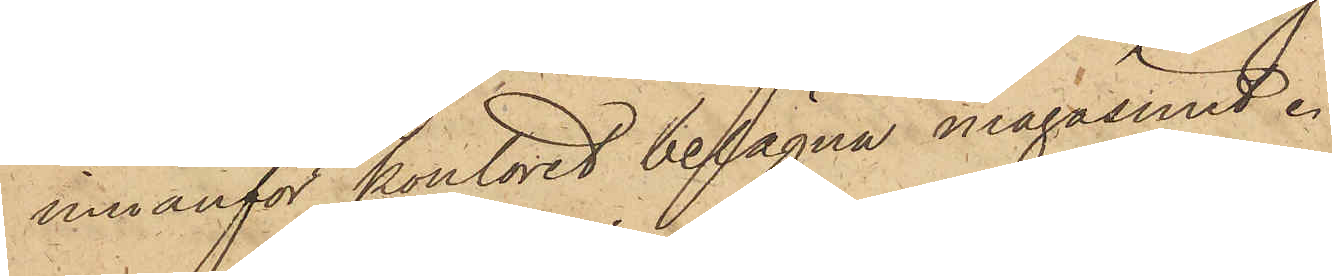innanför kontoret belägna magasinet.
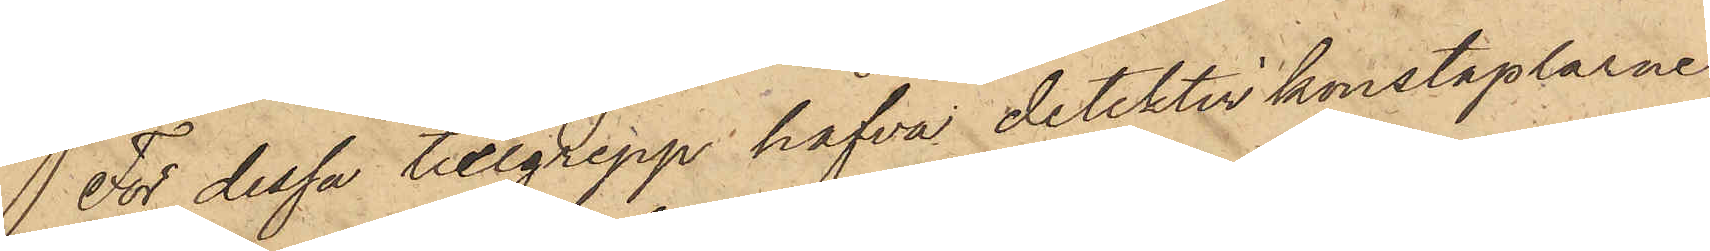 För dessa tillgrepp hafva detektivkonstaplarne
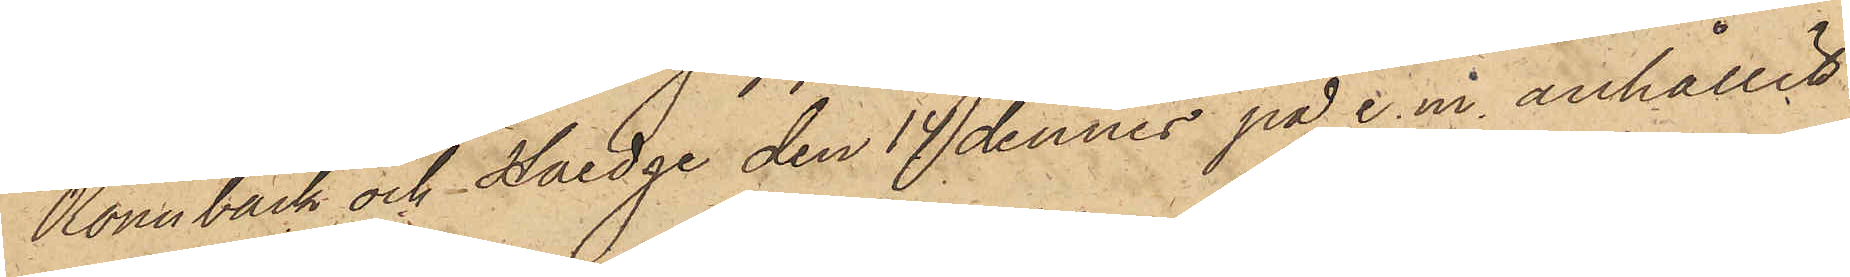Rönnbäck och Haedge den 14 dennes på e. m. anhållit
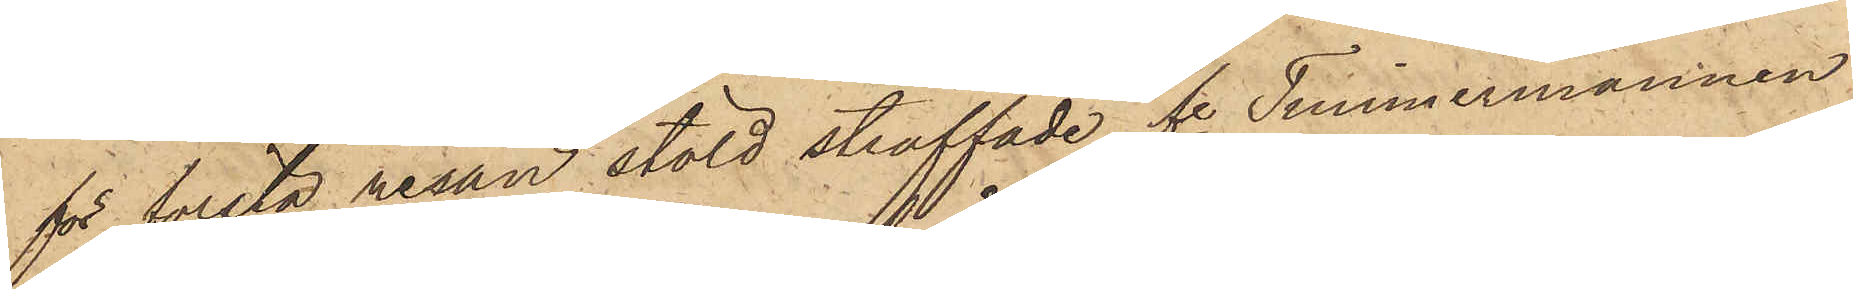för första resan stöld straffade fre Timmermannen
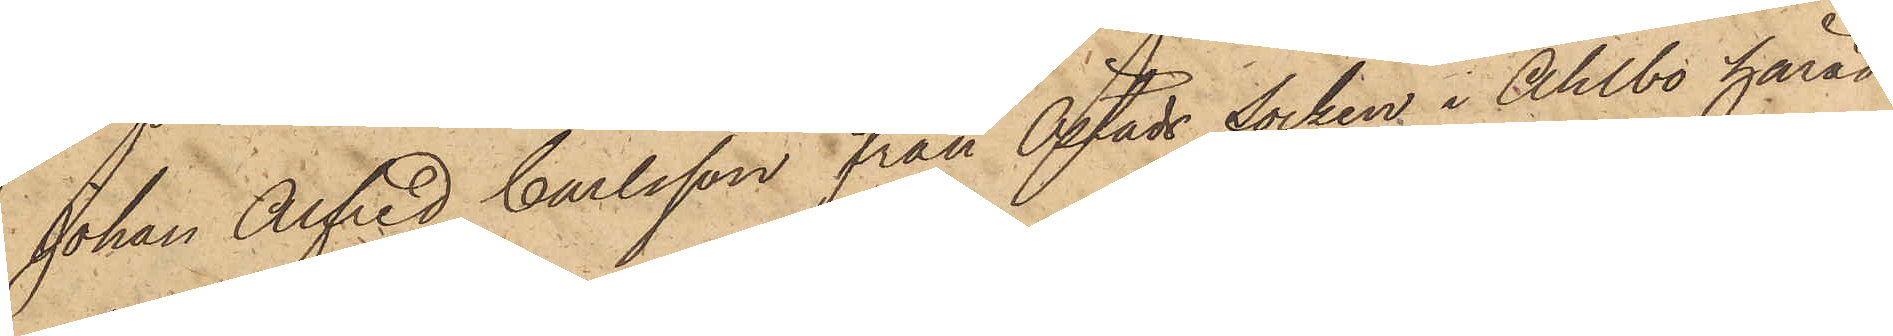Johan Alfred Carlsson från Östads socken i Ahlbo härad
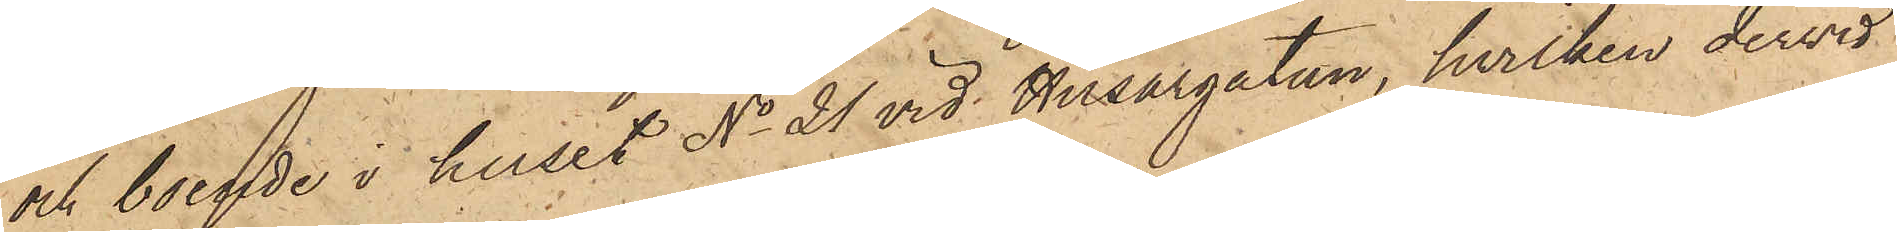och boende i huset No 21 vid Husargatan, hvilken dervid
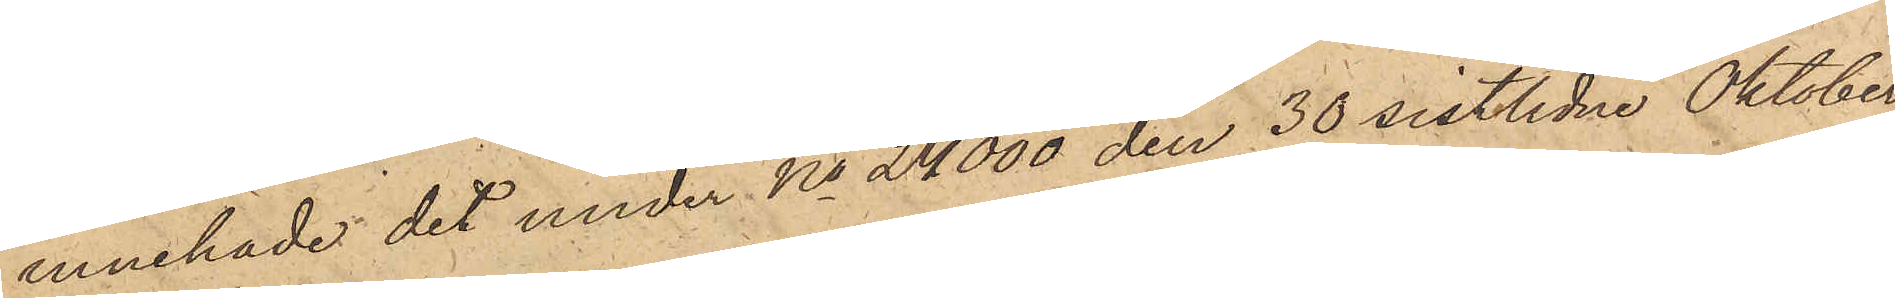innehade det under No 24000 den 30 sistlidne Oktober
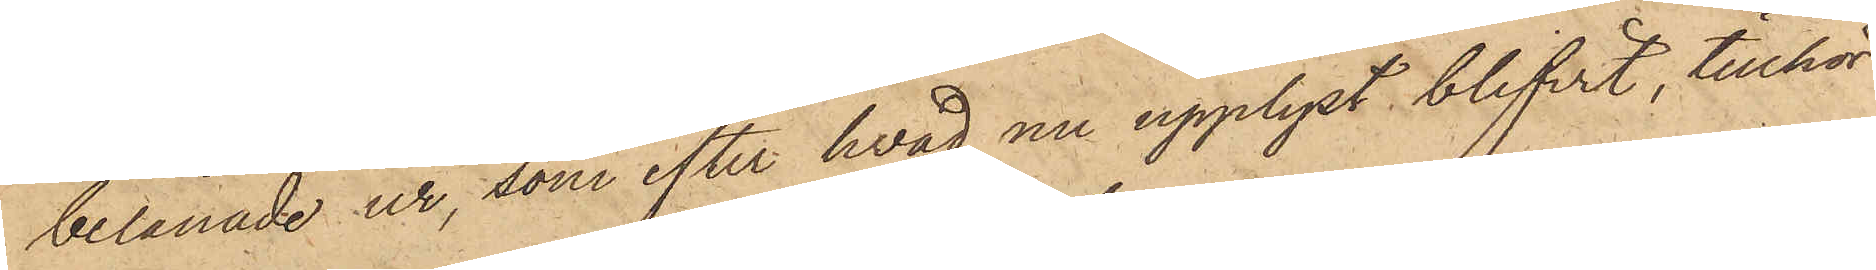belånade ur, som efter hvad nu upplyst blifvit, tillhör
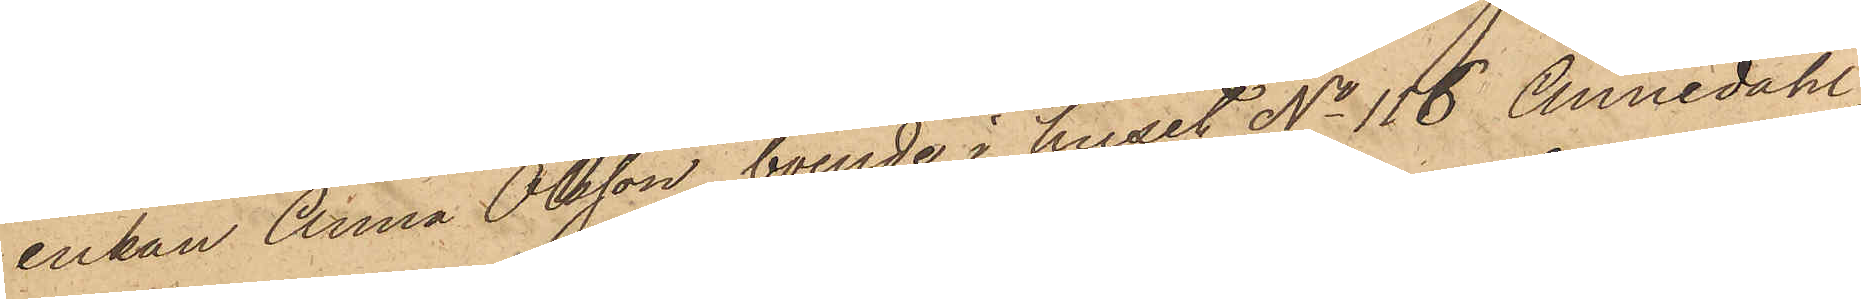enkan Anna Olsson, boende i huset No 116 Annedahl,
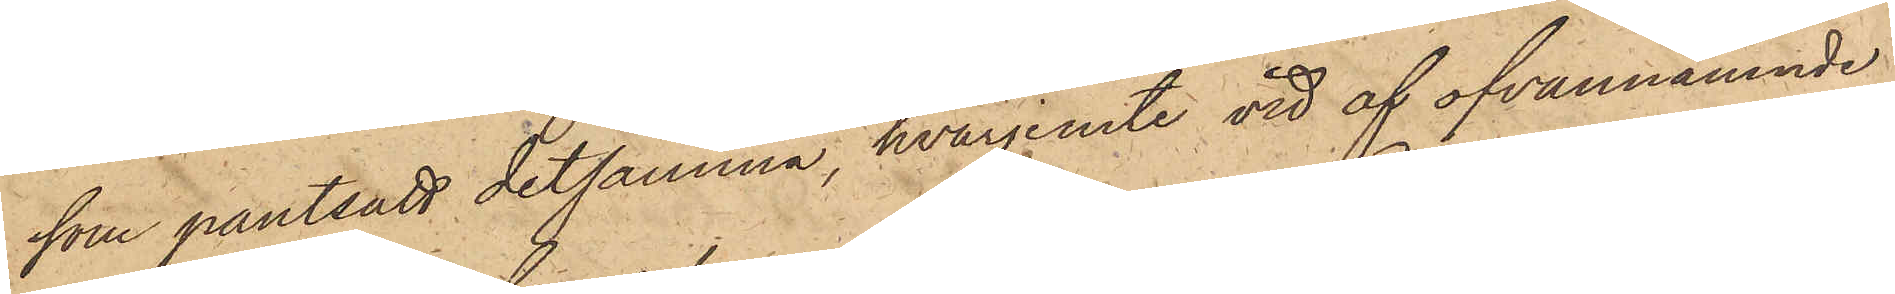som pantsatt detsamma, hvarjemte vid af ofvannämnde
